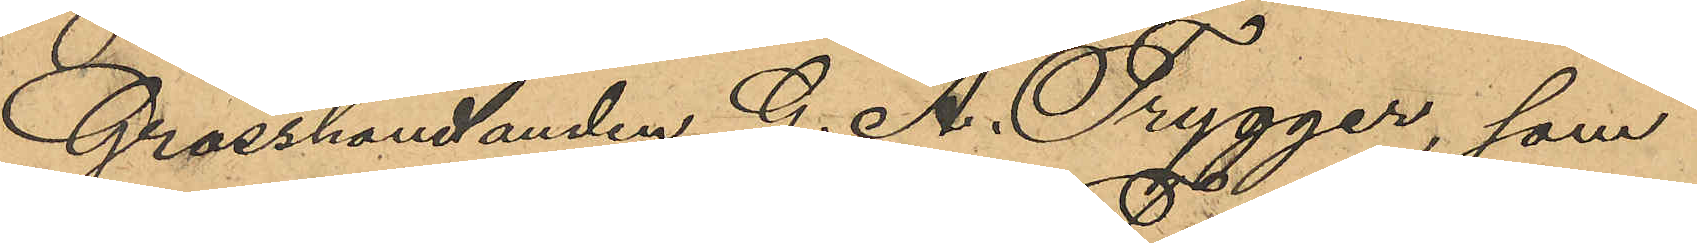Grosshandlanden G. A. Trygger, som
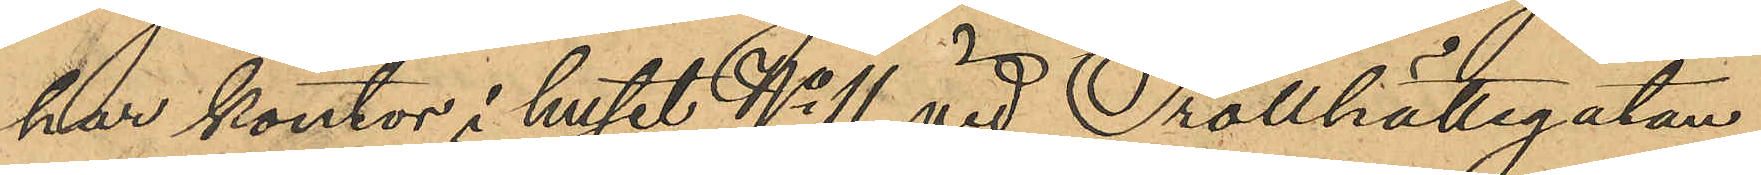har kontor i huset No 11 vid Trotthättegatan,
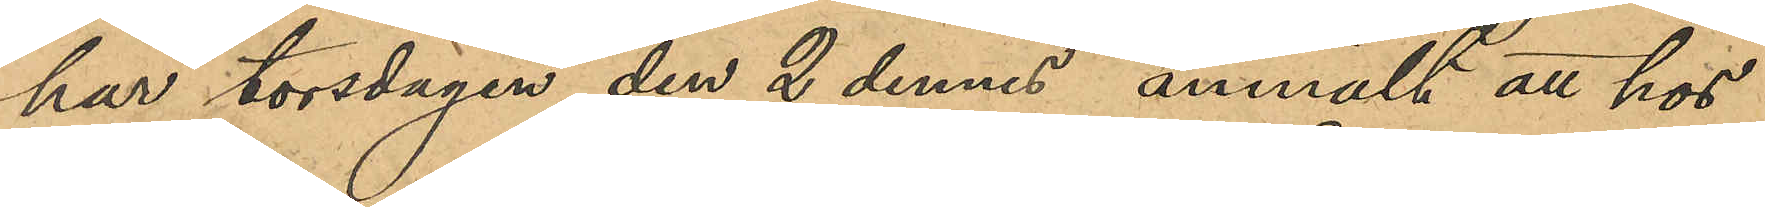har torsdagen den 2 dennes anmält att hos
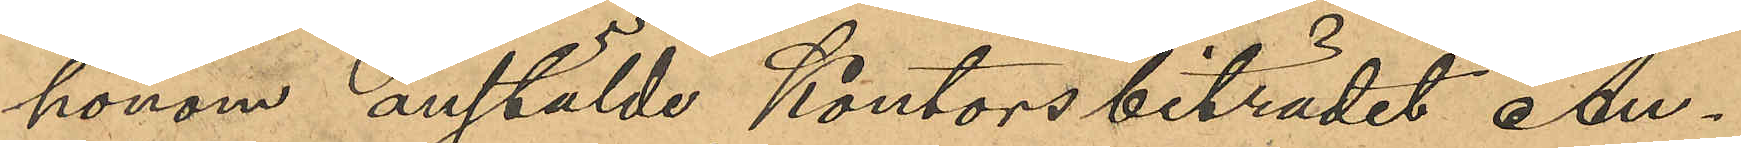honom anstälde Kontorsbiträdet An¬
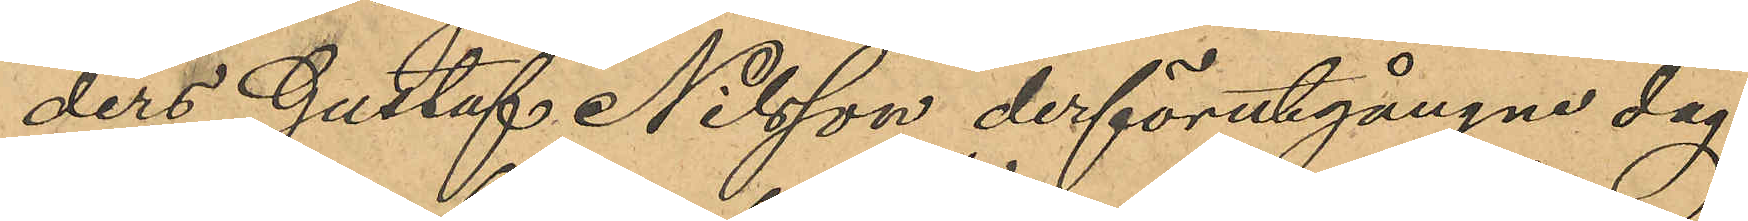ders Gustaf Nilsson derförutgångne dag
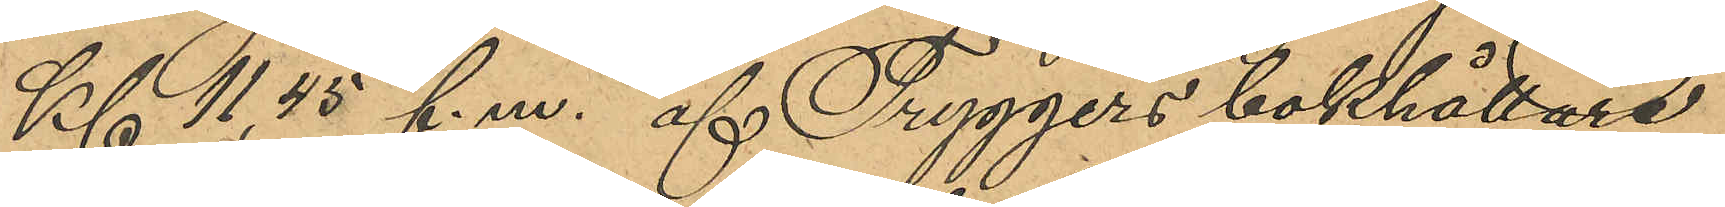Kl 11,45 f.m. af Tryggers bokhållare
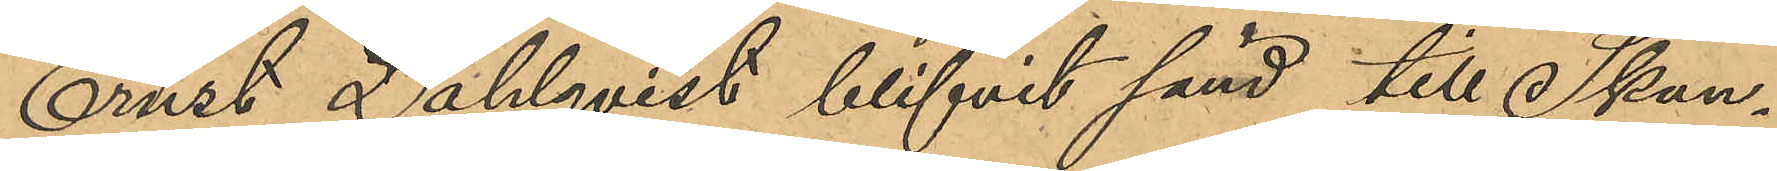Ernst Dahlqvist blifvit sänd till Skan¬
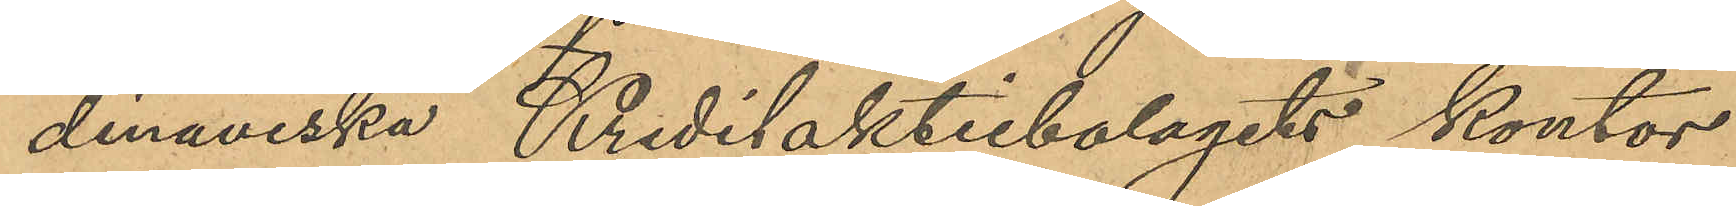dinaviska Kreditaktiebolagets kontor
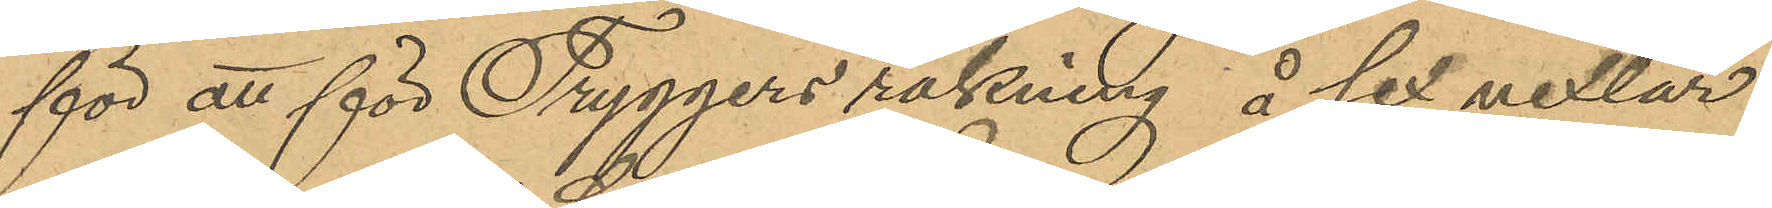för att för Tyggers räkning å sex vexlar
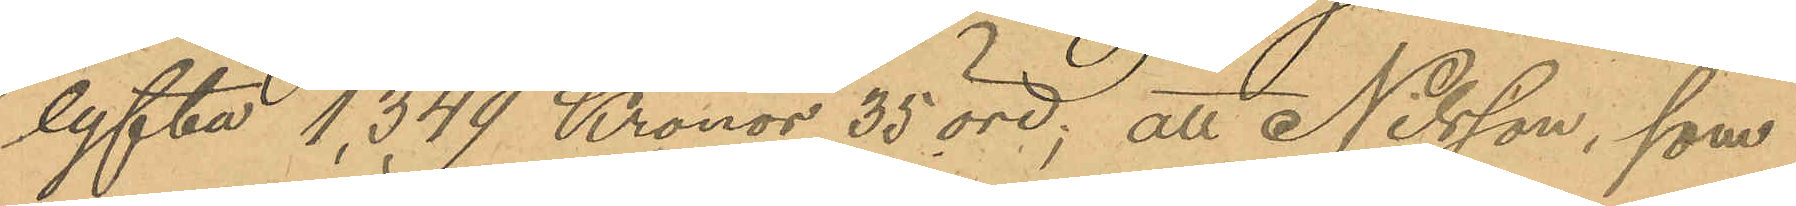lyfta 1,349 Kronor 35 öre; att Nilsson, som
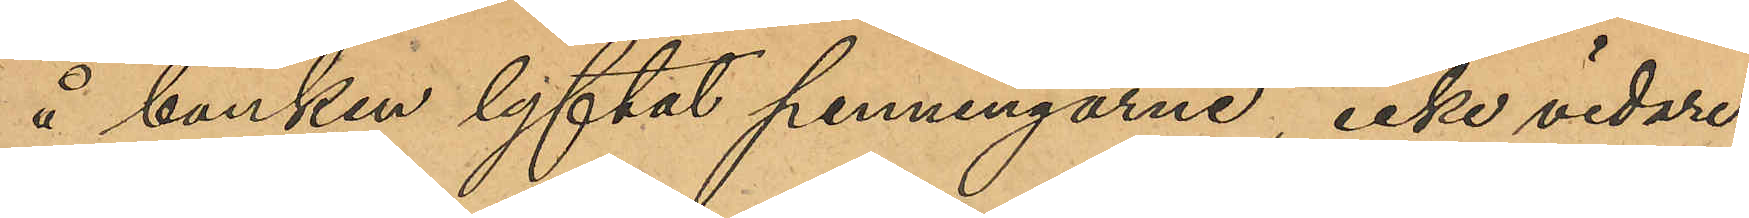å banken lyftat penningarne, icke vidare
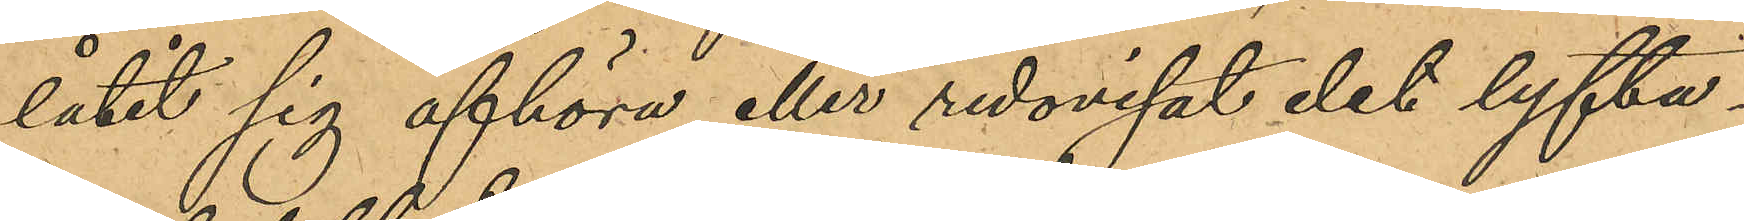låtit sig afhöra eller redovisat det lyfta¬
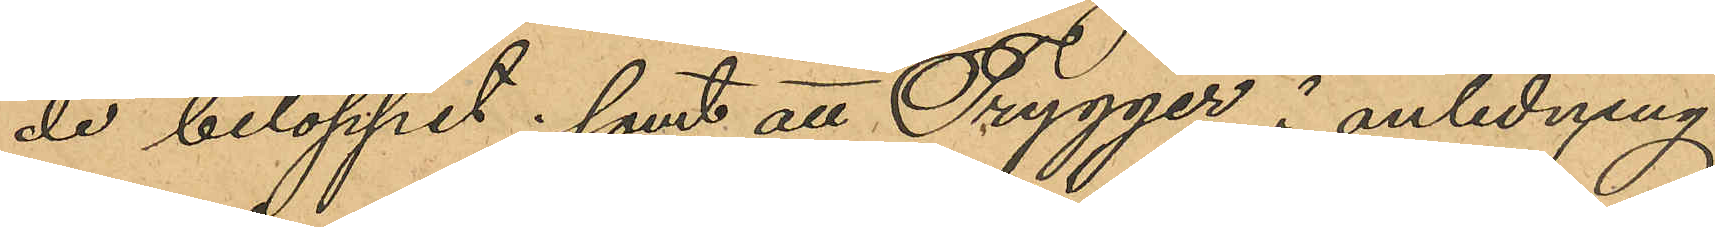de beloppet; samt att Trygger i anledning
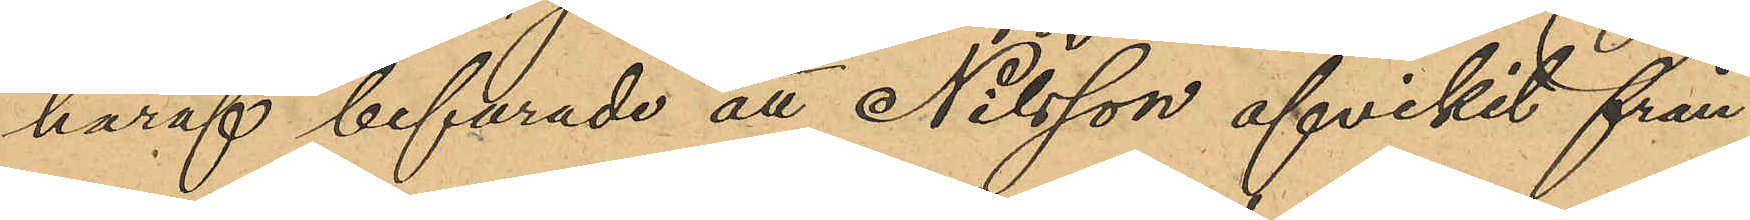häraf befarade att Nilsson afvikit från
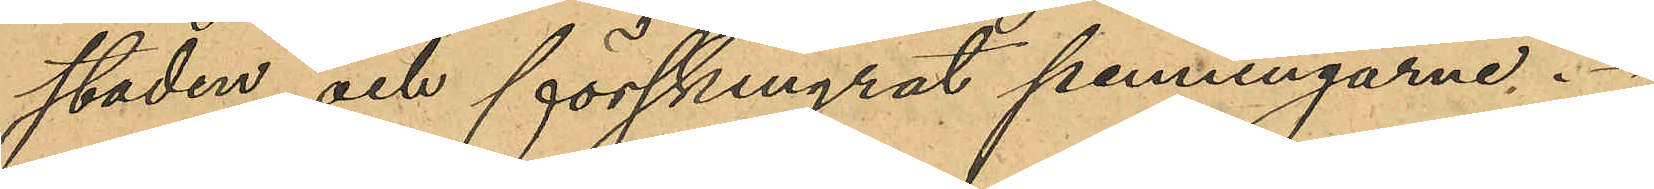staden och förskingrat penningarne.
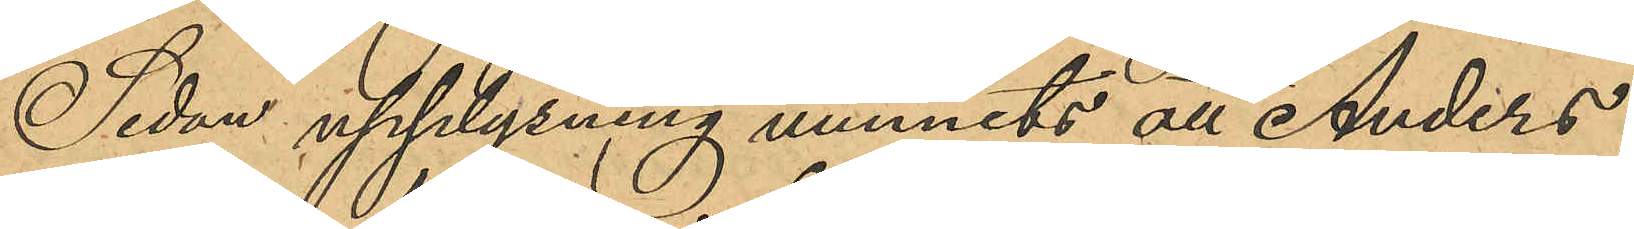Sedan upplysning vunnets att Anders
